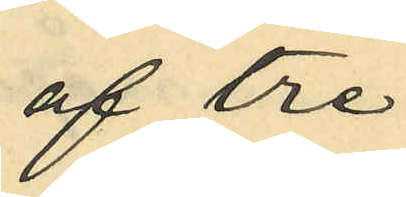af tre
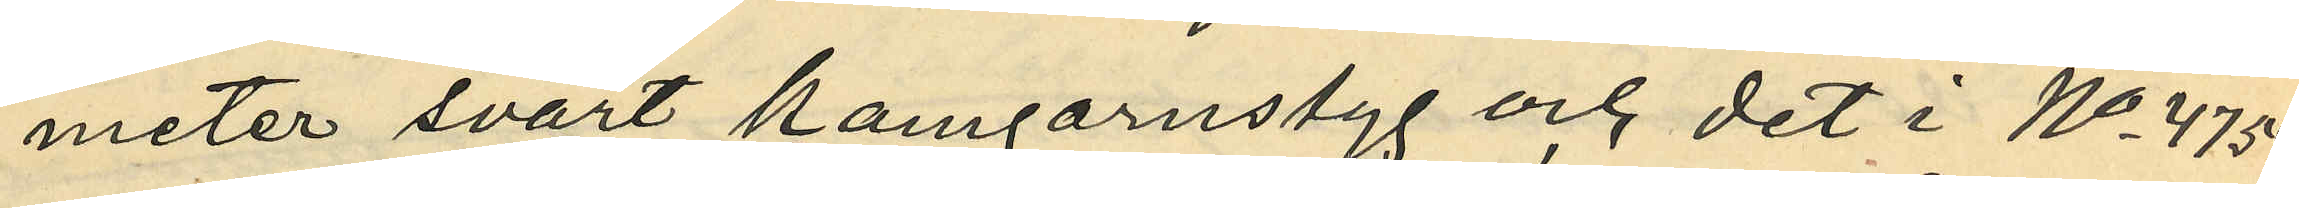meter svart kamgarnstyg och det i No 4754
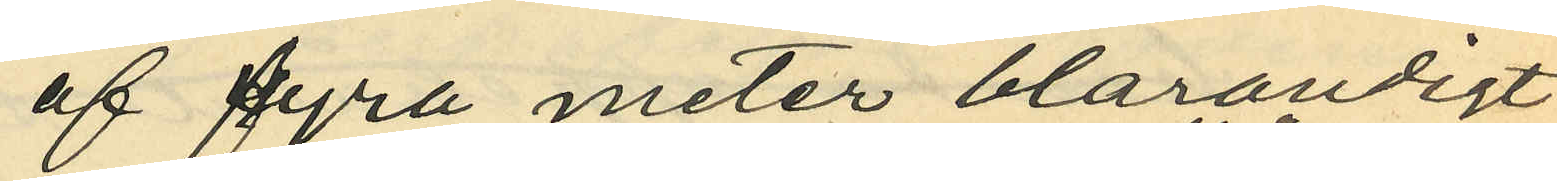af fyra meter blårandigt
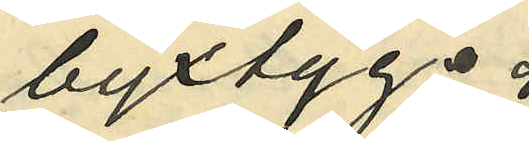byxtyg;
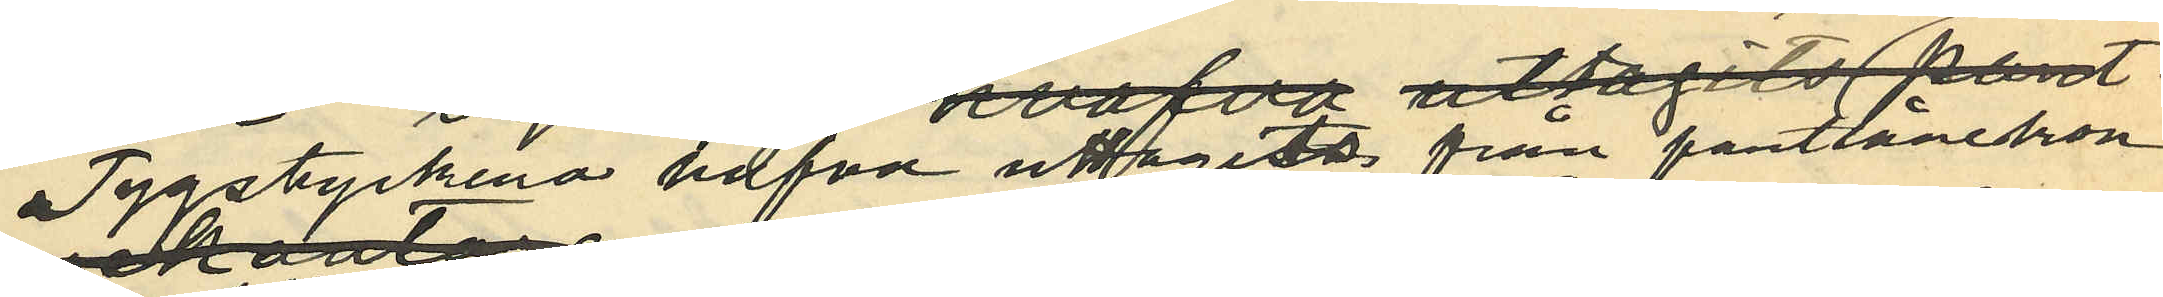Tygstyckena hafva uttagits från pantlånekon¬
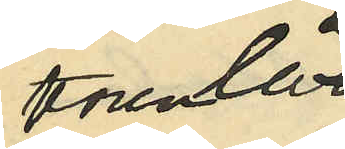toren
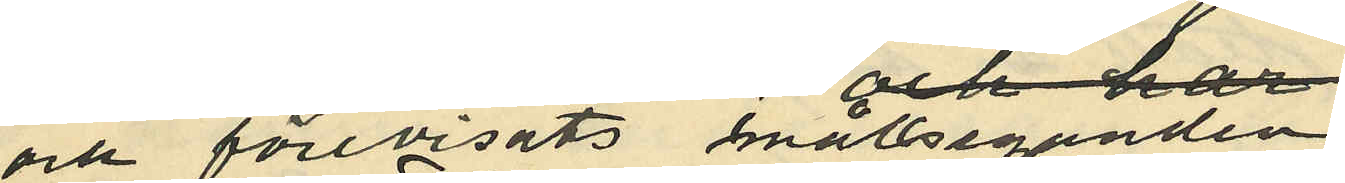och förevisats mållseganden
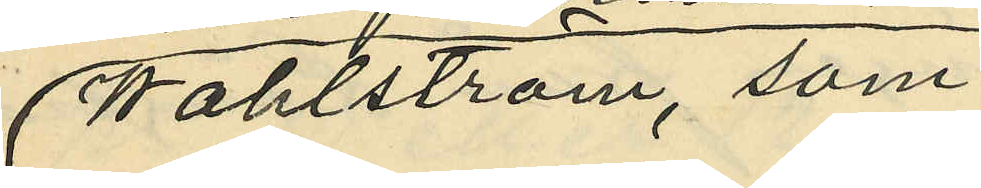Wahlström, som
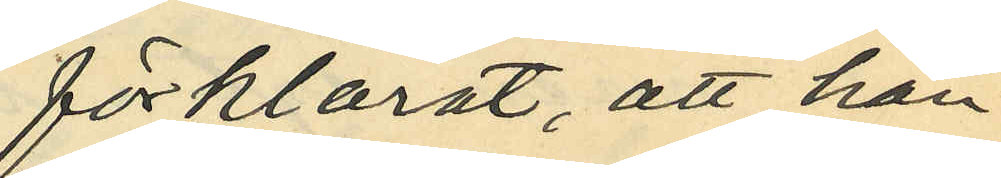förklarat, att han
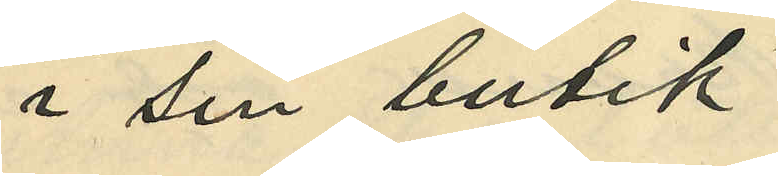i sin butik
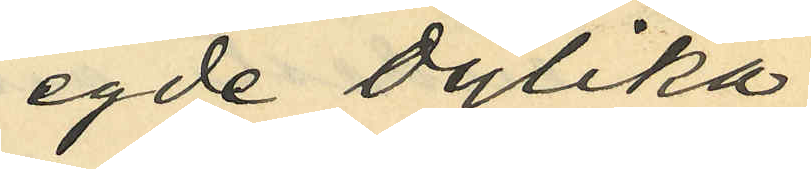egde dylika
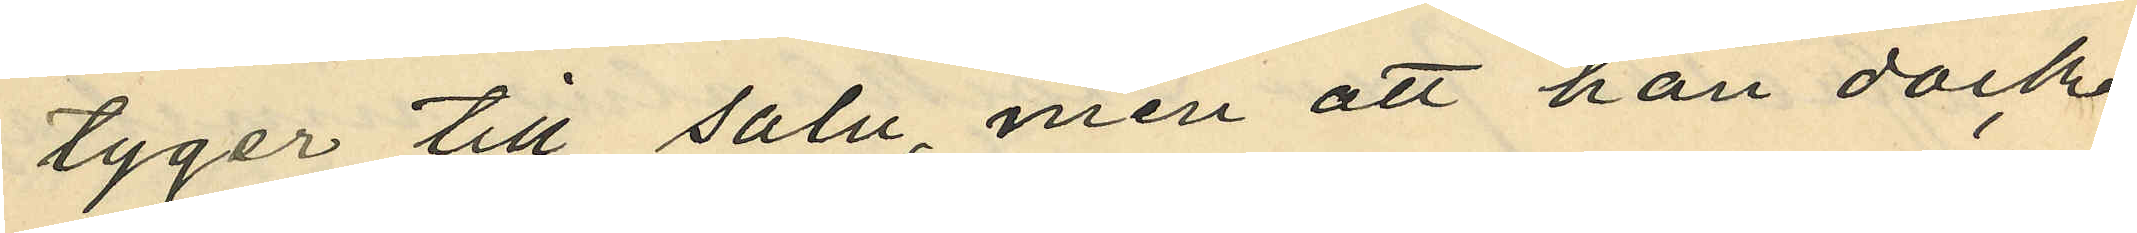tyger till salu, men att han dock
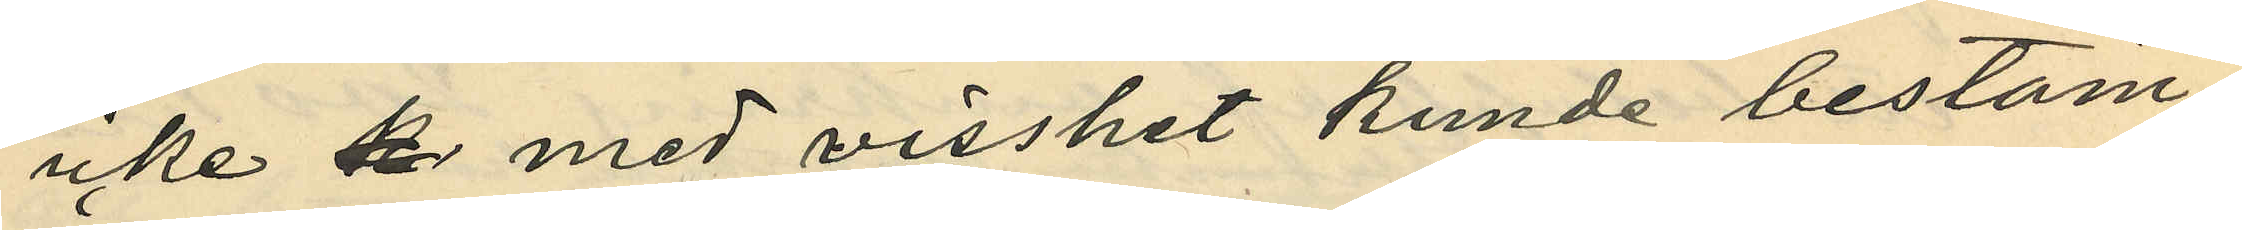icke med visshet kunde bestäm¬
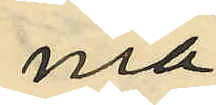ma
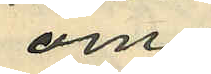om
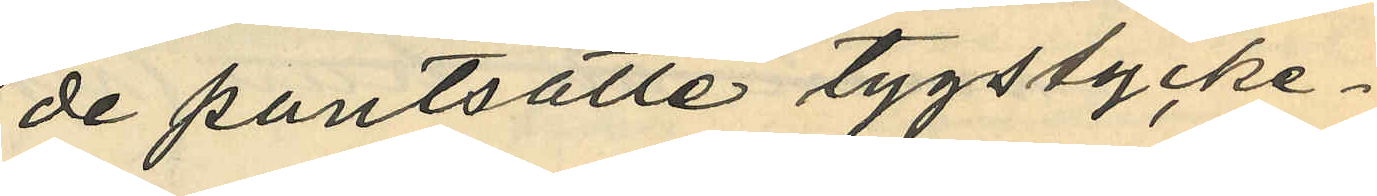de pantsatte tygstycke¬
